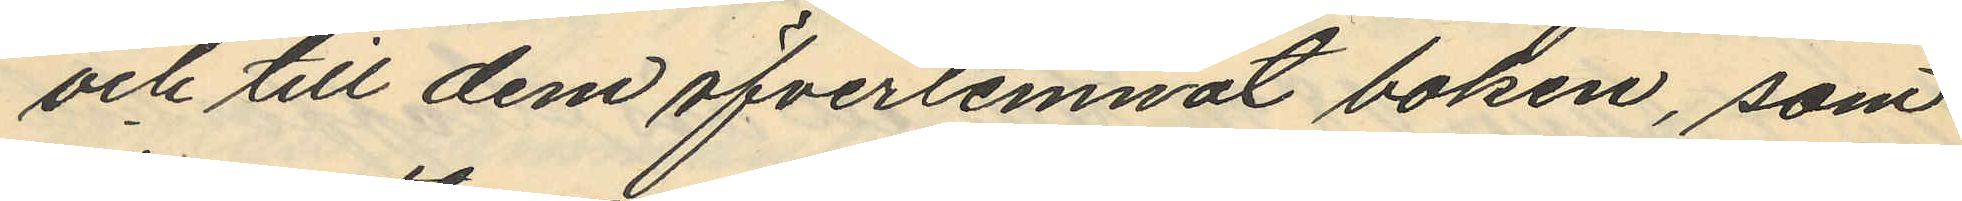och till dem öfverlemnat boken, som
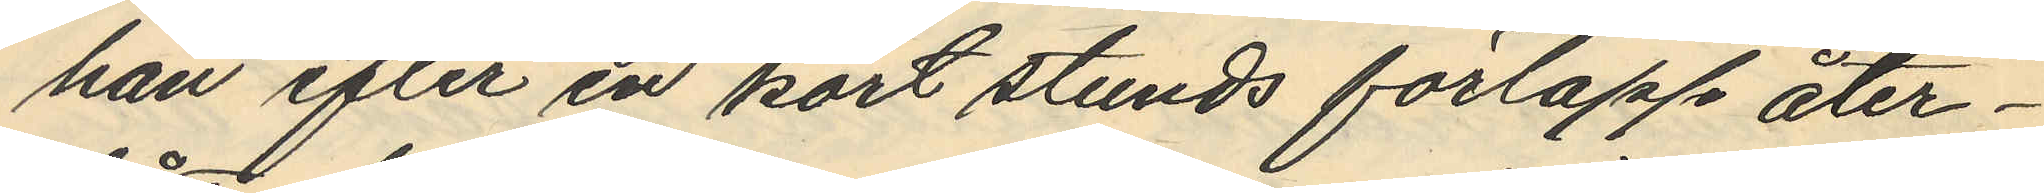han efter en kort stunds förlopp åter¬
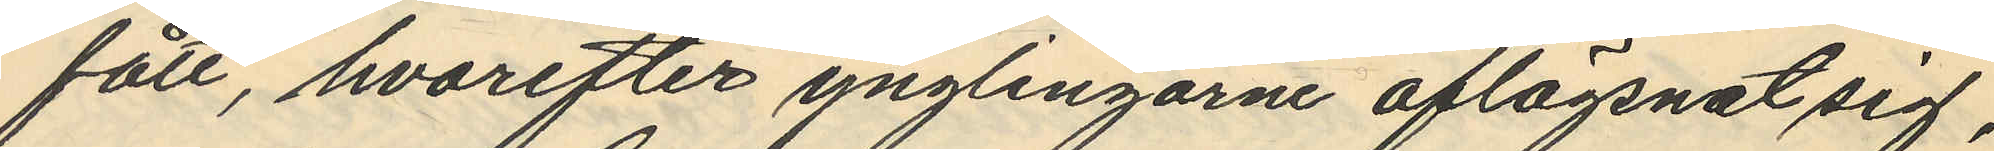fått, hvarefter ynglingarne aflägsnat sig,
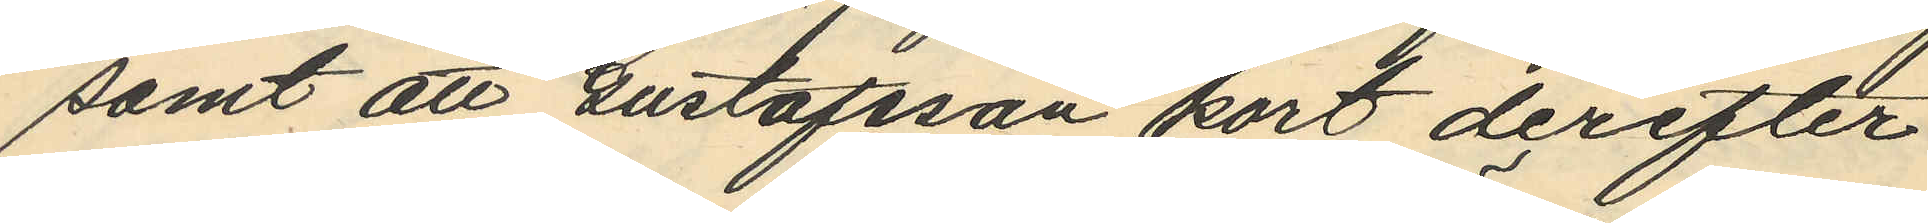samt att Gustafsson kort derefter
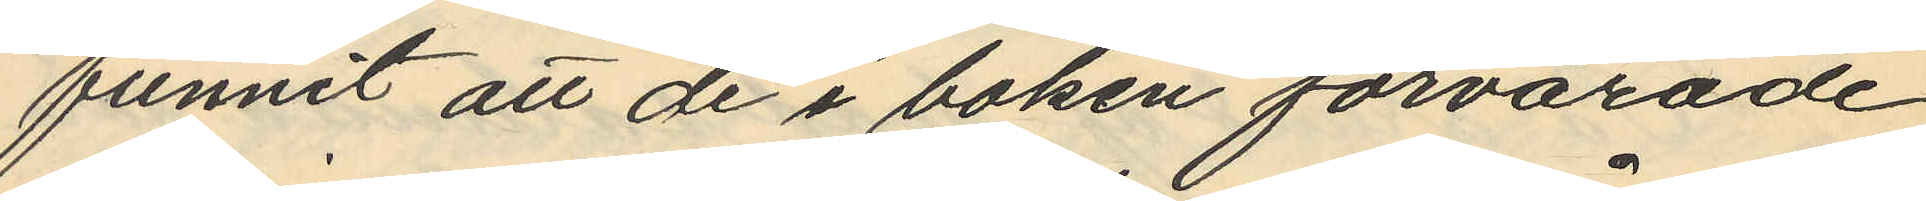funnit att de i boken förvarade
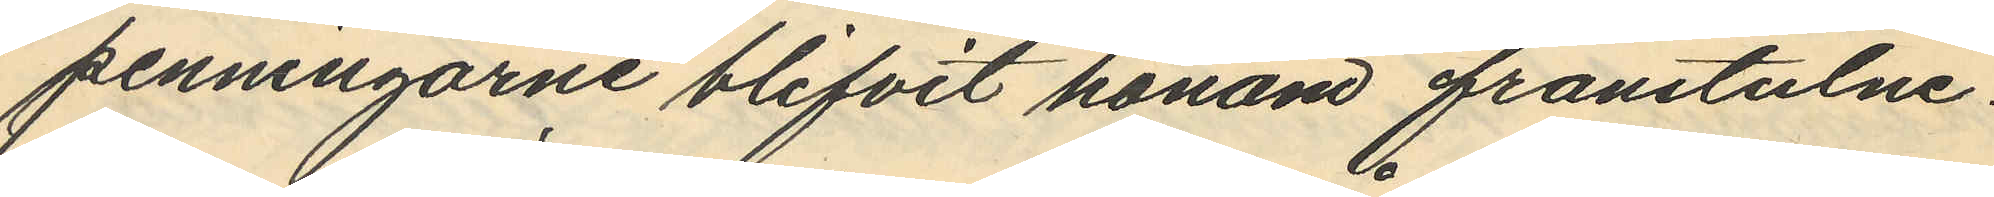penningarne blifvit honom frånstulne.
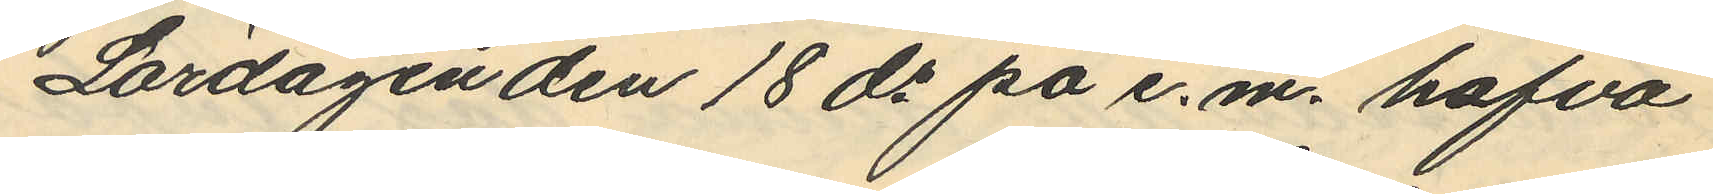Lördagen den 18 ds på e.m. hafva
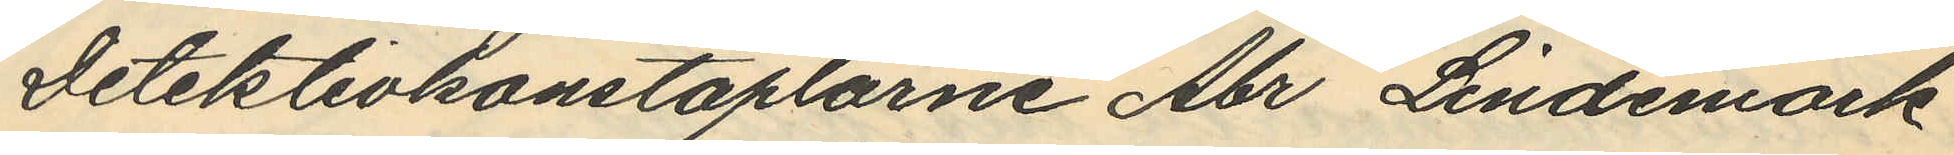Detektivkonstaplarne Abr Lindemark
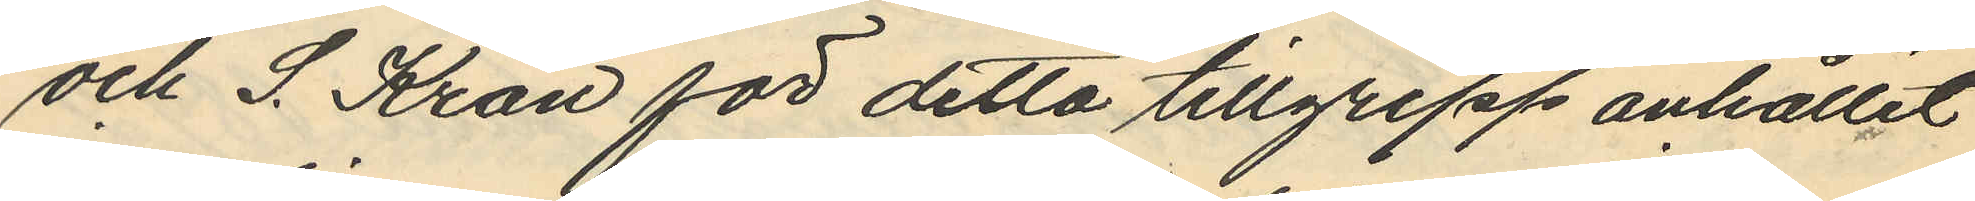och S. Kron för detta tillgrepp anhållit
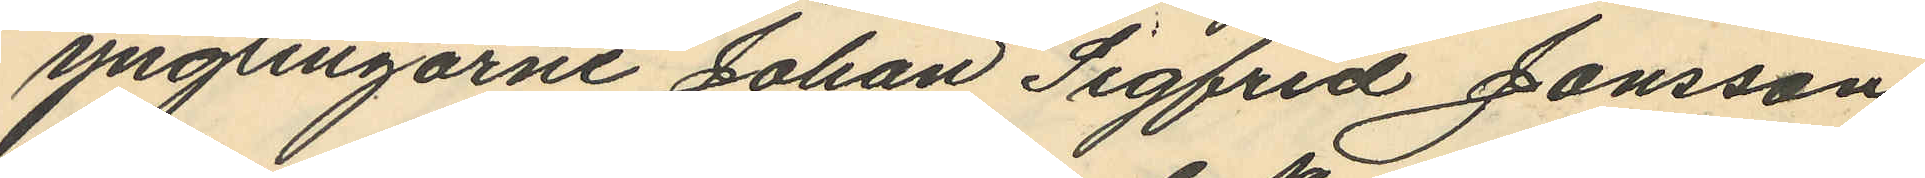ynglingarne Johan Sigfrid Jonsson
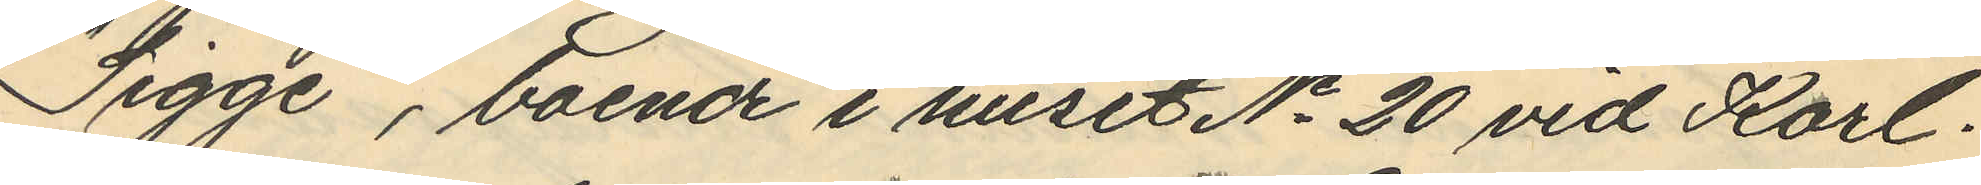"Sigge", boende i huset No 20 vid Karl
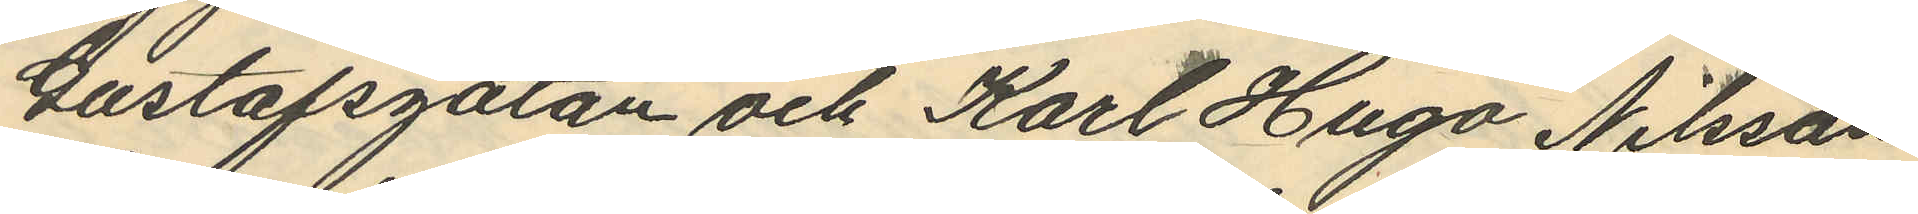Gustafsgatan och Kart Hugo Nilsson
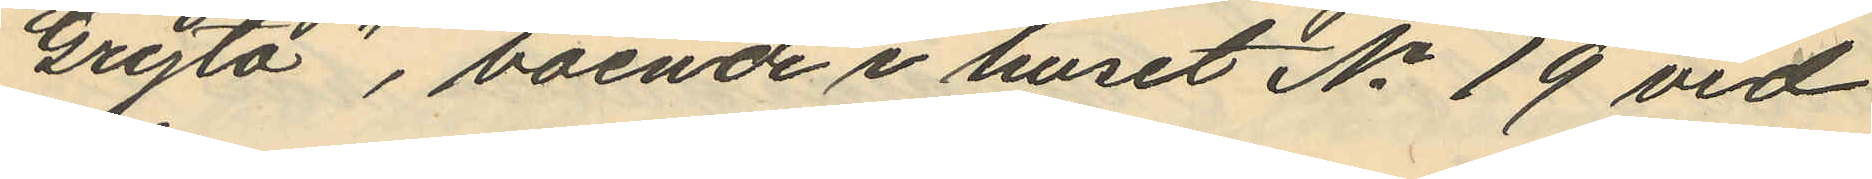"Gryta", boende i huset No 19 vid
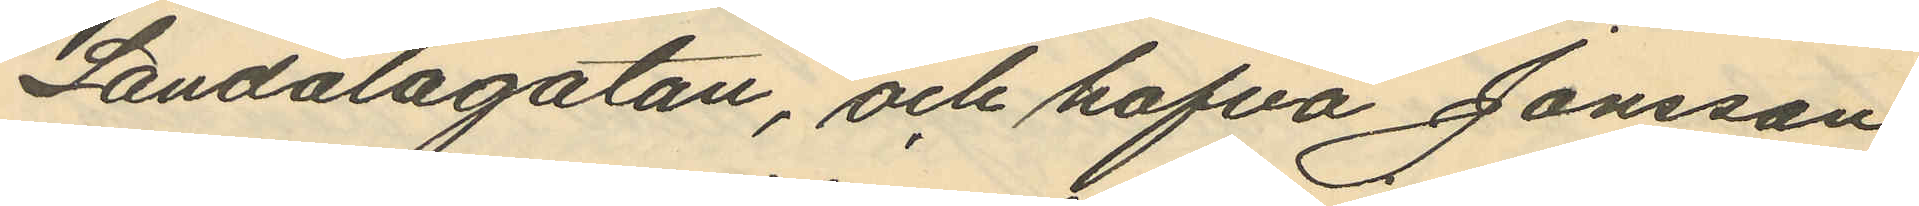Landalagatan, och hafva Jonsson
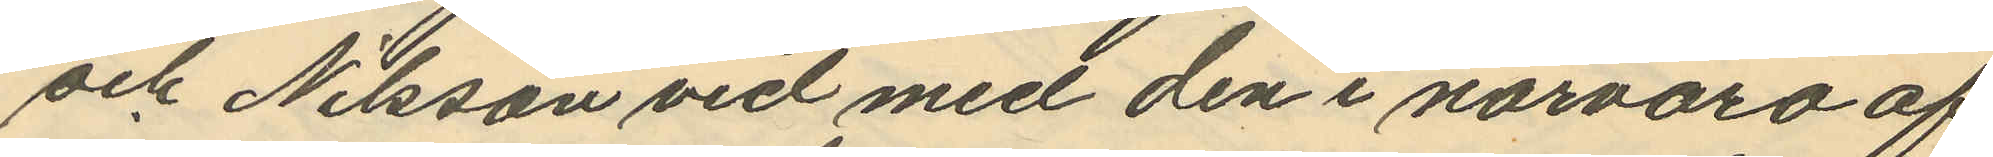och Nilsson vid med den i närvaro af
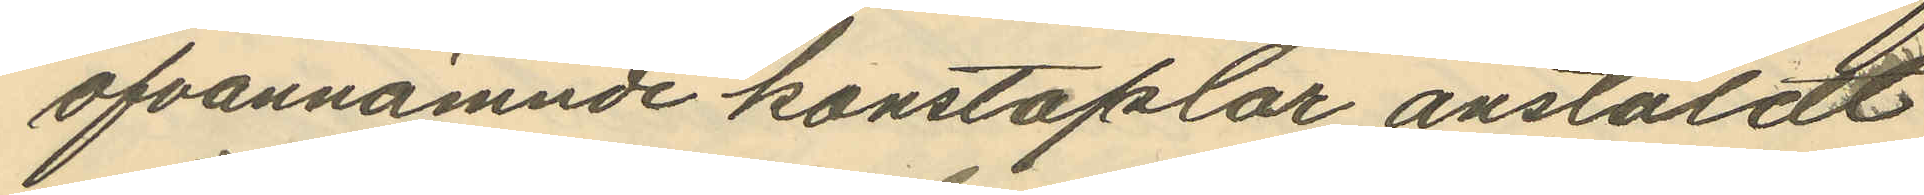ofvannämnde konstaplar anstäldt
